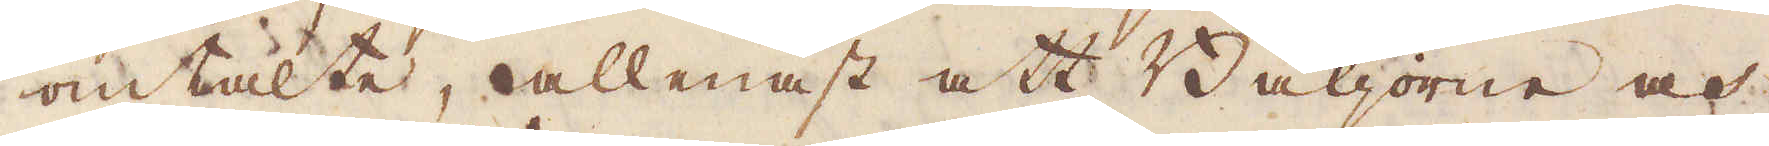omtalte, allenast att Bäljorne och
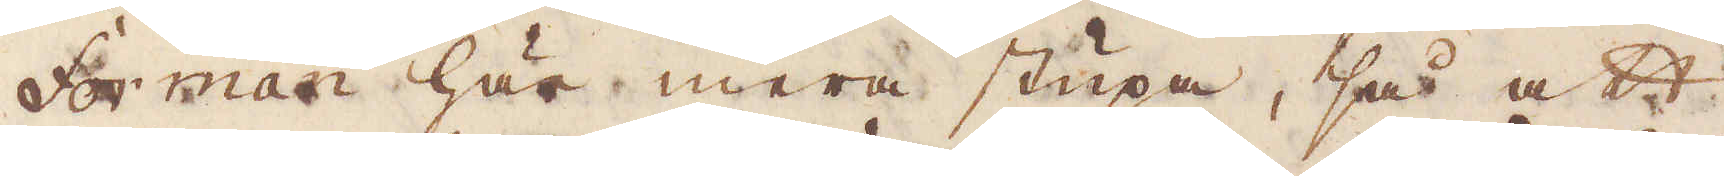Forman här mera stupa, så att
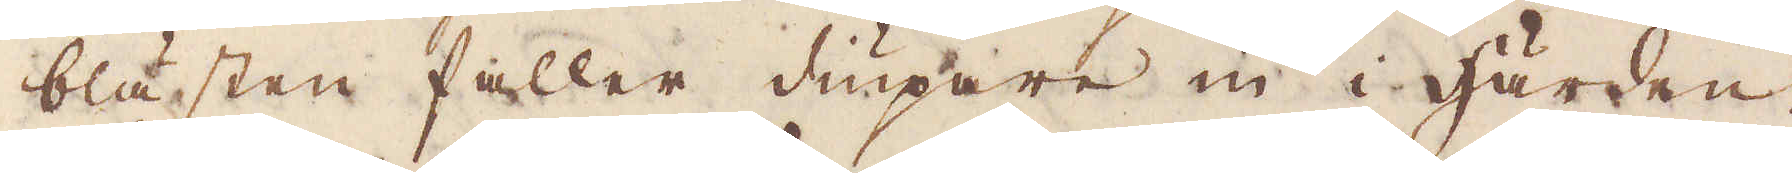blästen faller diupare in i härden.
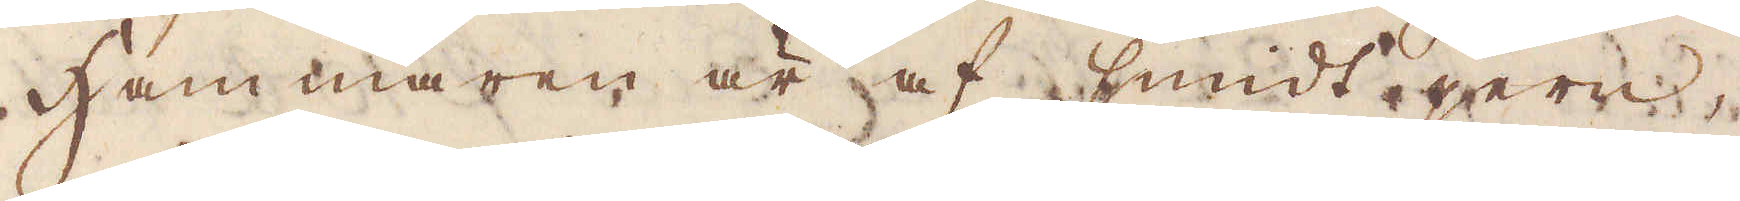Hammaren är af smidt jern,
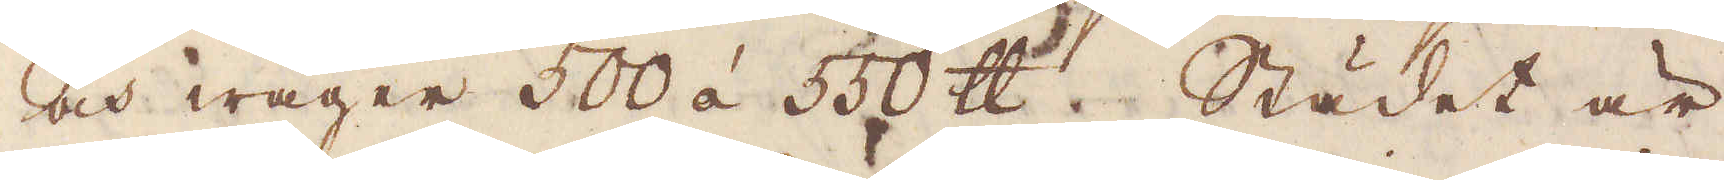och wäger 500 á 550 skålpund. Städet är
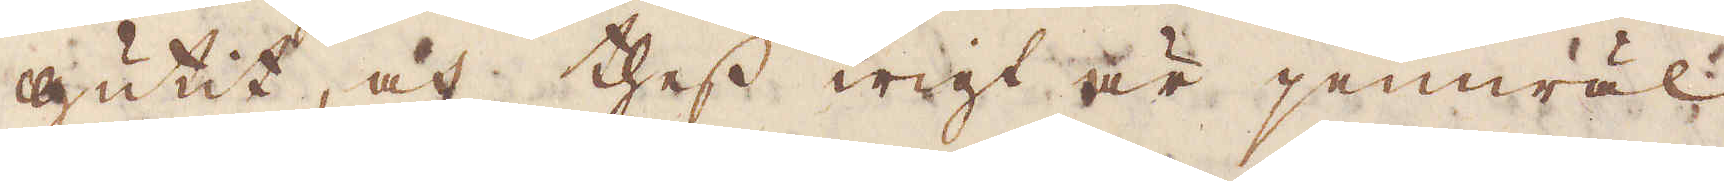gutit, och thess wigt är jemwäl
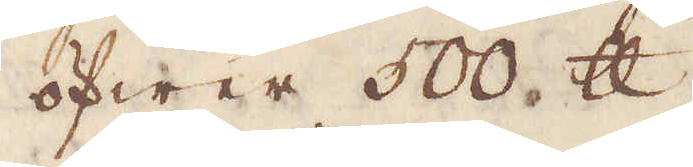öfwer 500 skålpund.
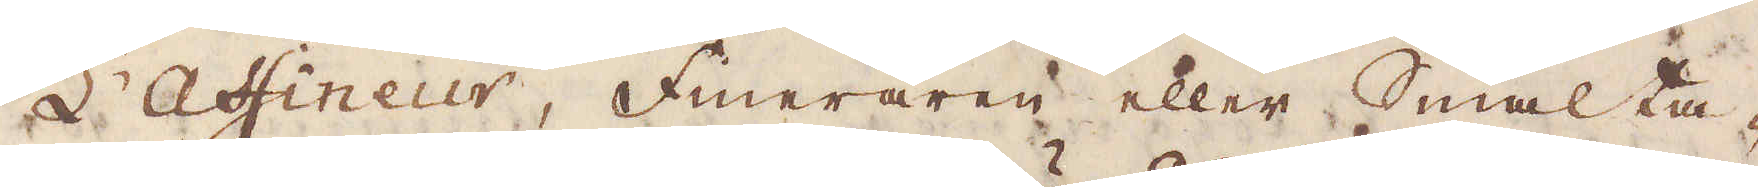L'Affineur, Fineraren eller Smälta-
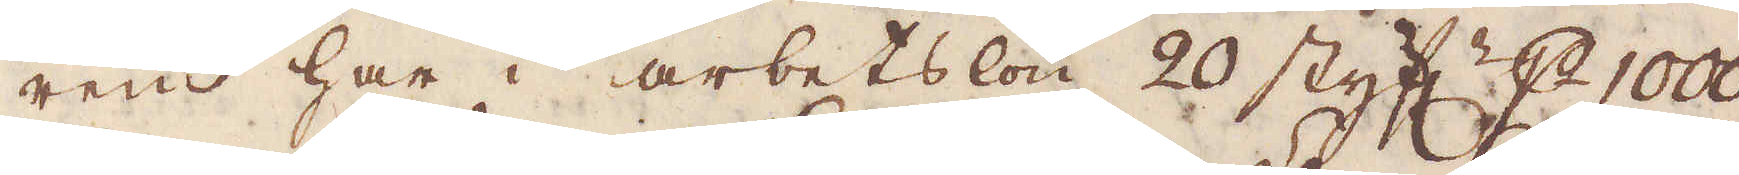ren har i arbetslön 20 styf:r p 1000
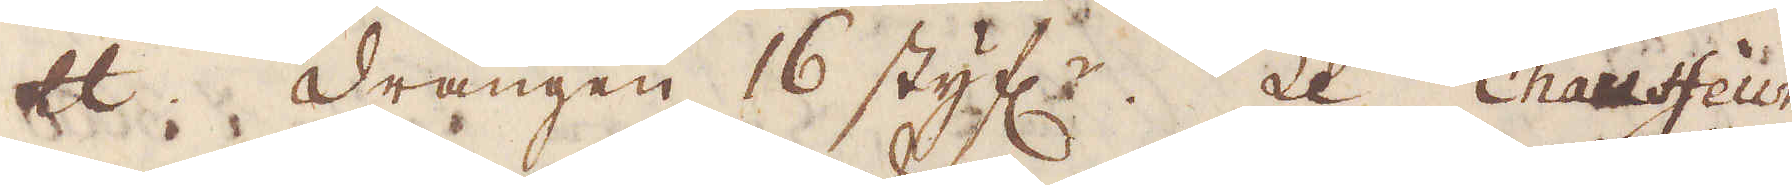skålpund. Drängen 16 styf:r. Le Chauffeur
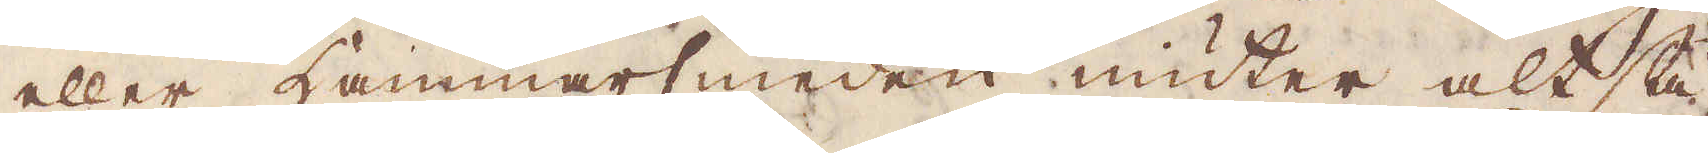eller Hammarsmeden niuter altså
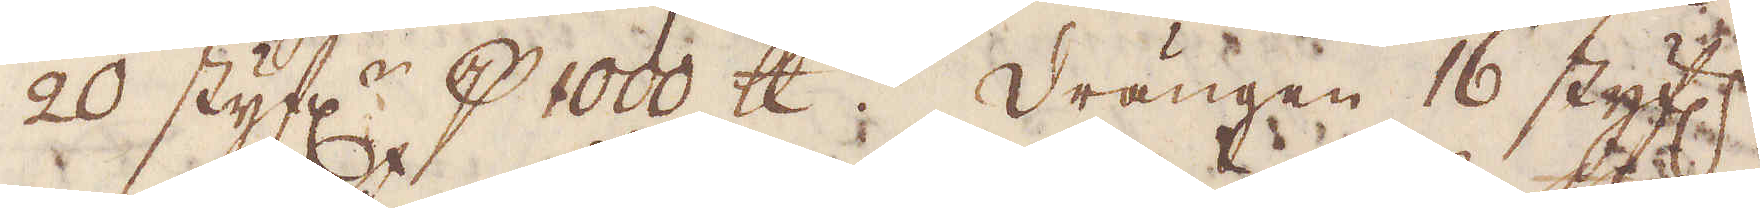20 styf:r p 1000 skålpund. Drängen 16 styf:r,
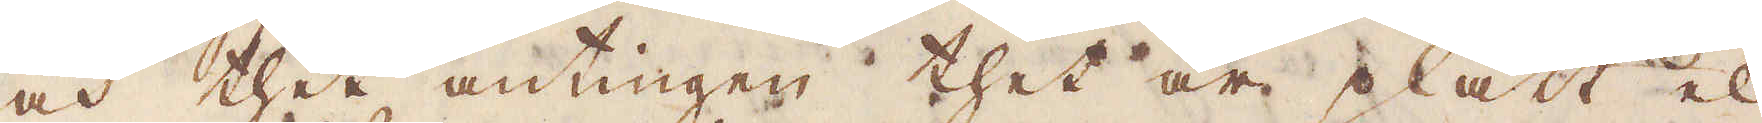och thet antingen thet är platt el-
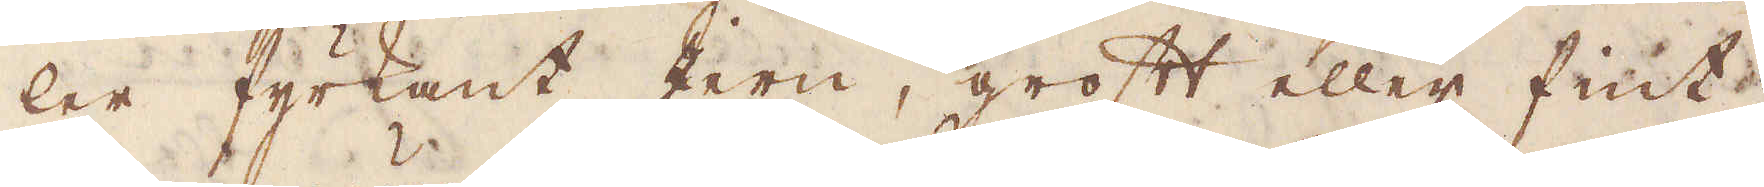ler fyrkant jern, groft eller fint;
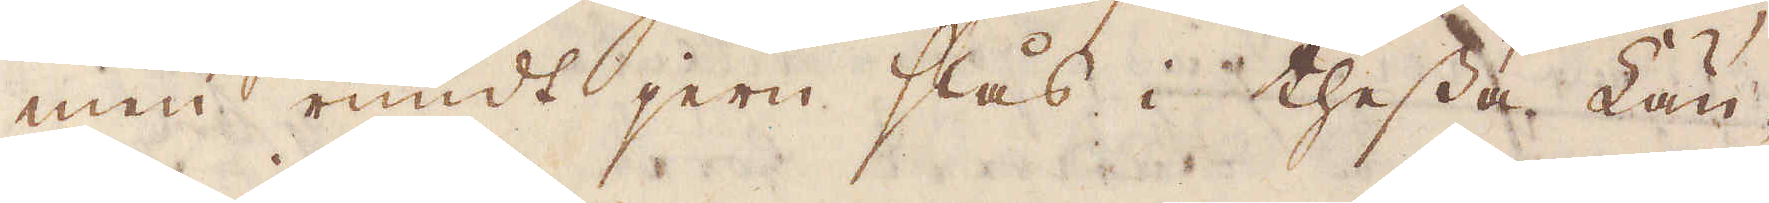men rundt jern slås i thessa Län-
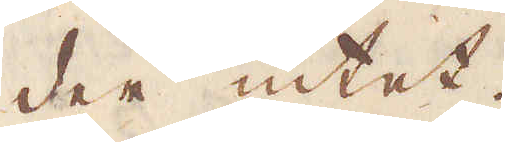der intet.
